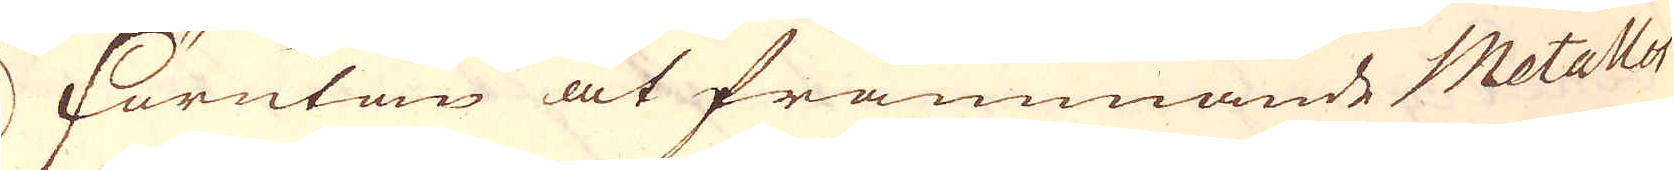Förutan at främmande Metaller
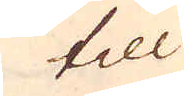till
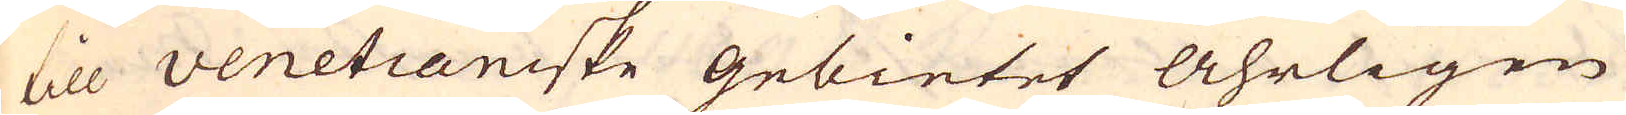till Venetianiske gebietet åhrligen
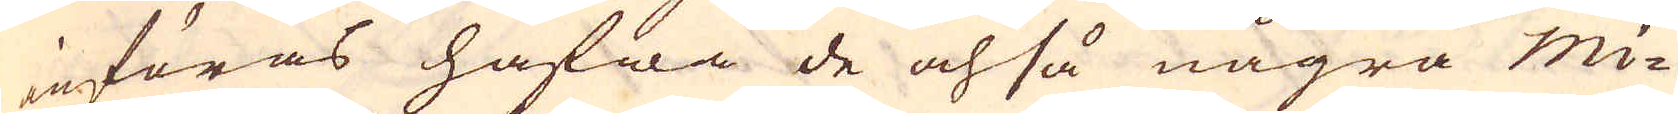införas hafwa de ochså några Mi-
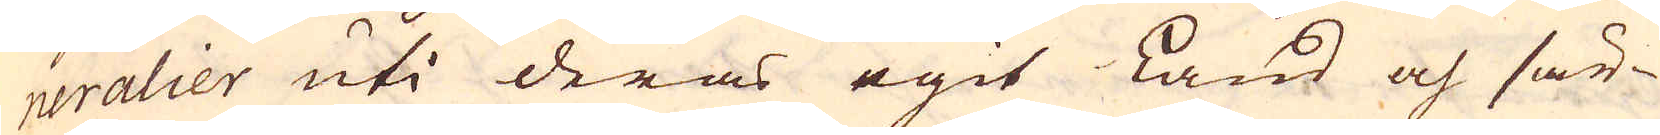neralier uti deras egit Land och sär-
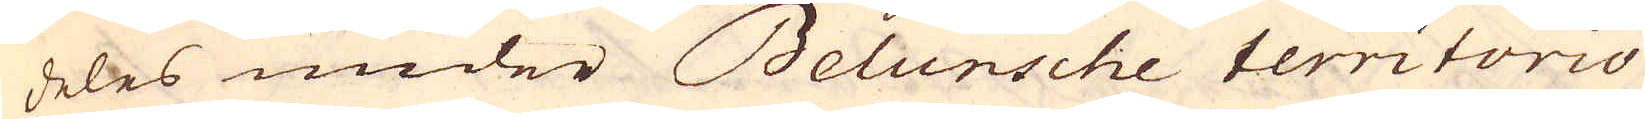deles under Belunsche territorio
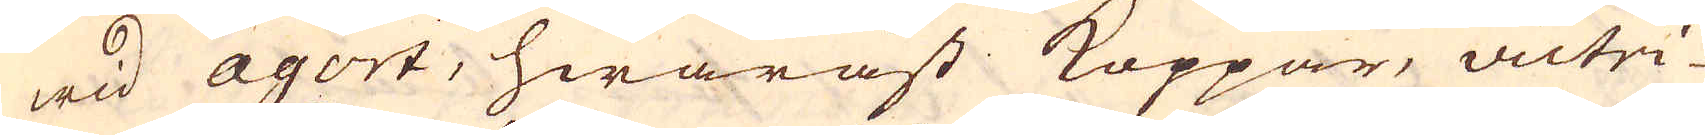wid agort, hwaräst Koppar, victri-
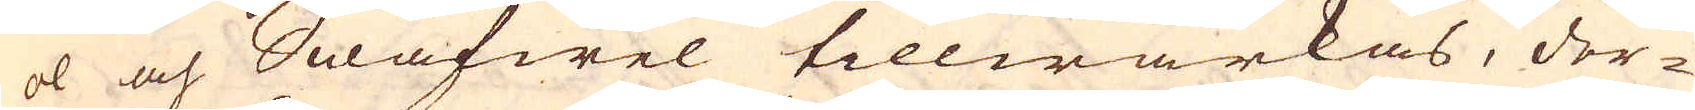ol och Swafwel tillwärkas, der-
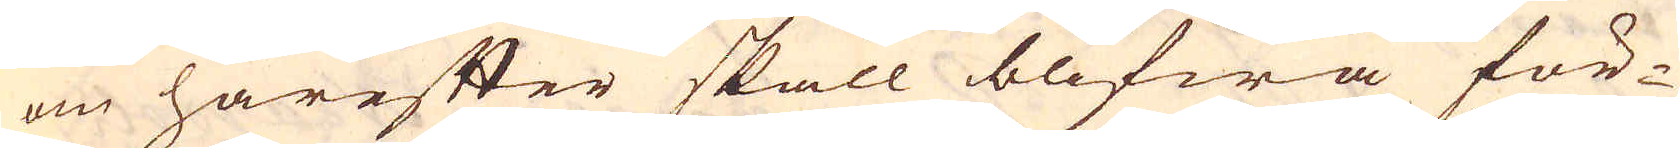om härefter skall blifwa för-
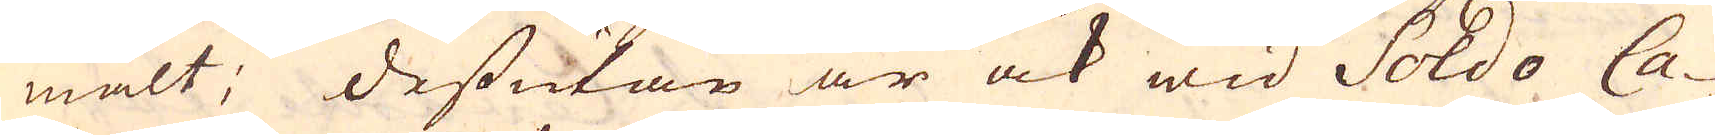mält; dessutan är ock wid Soldo Ca-
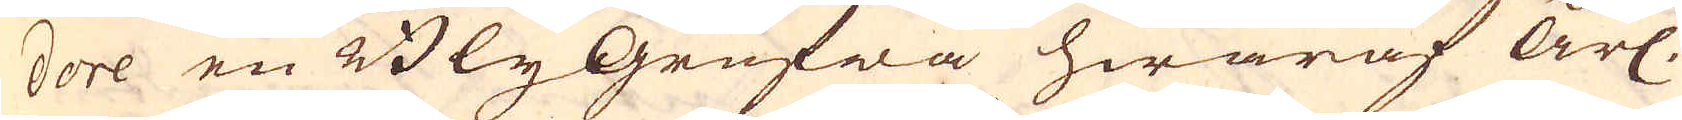dore en BlyGrufwa hwaraf årl.
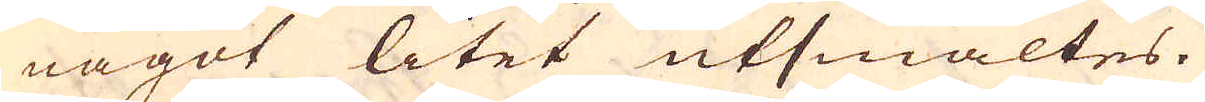något litet utsmältes.
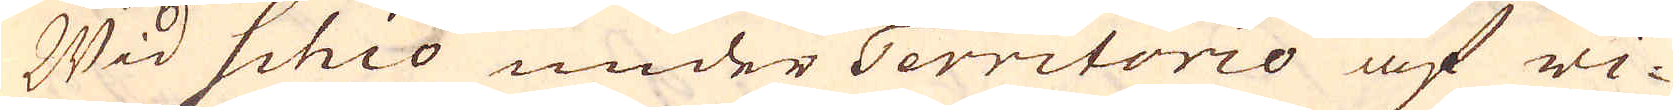Wid Schio under Territorio af vi-
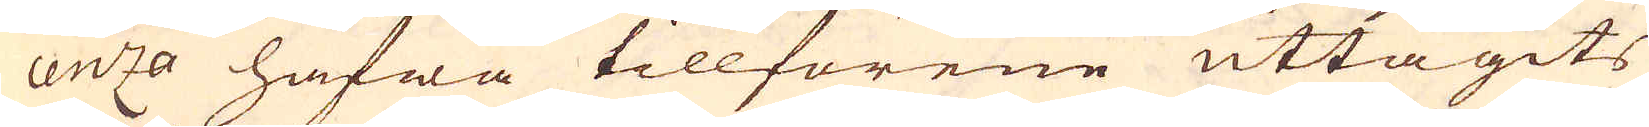centzo hafwa tillförene uttagits
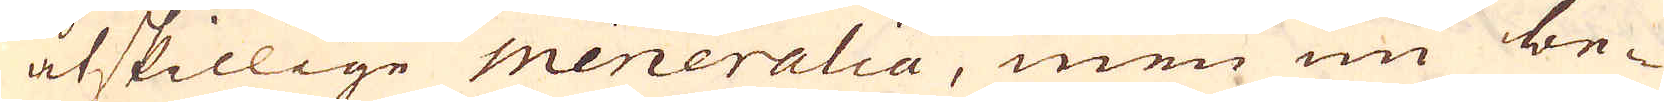åtskillige meneralia, men nu be-
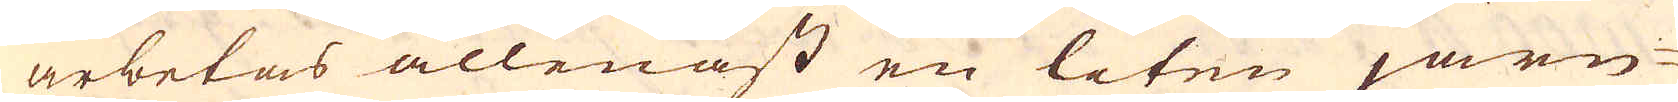arbetas allenast en liten järn-
